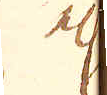el:r
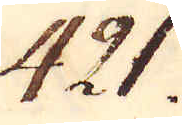421.
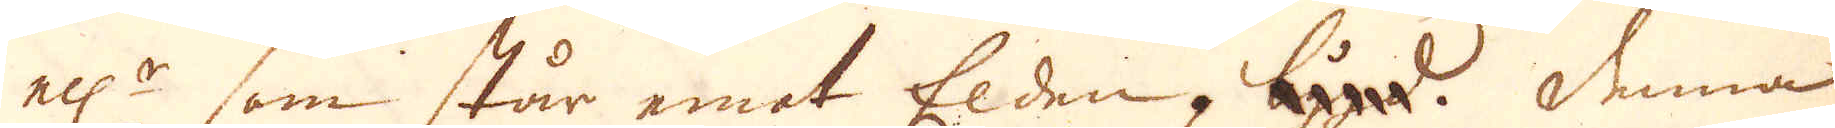el:r som står emot Elden. bygd. Denna
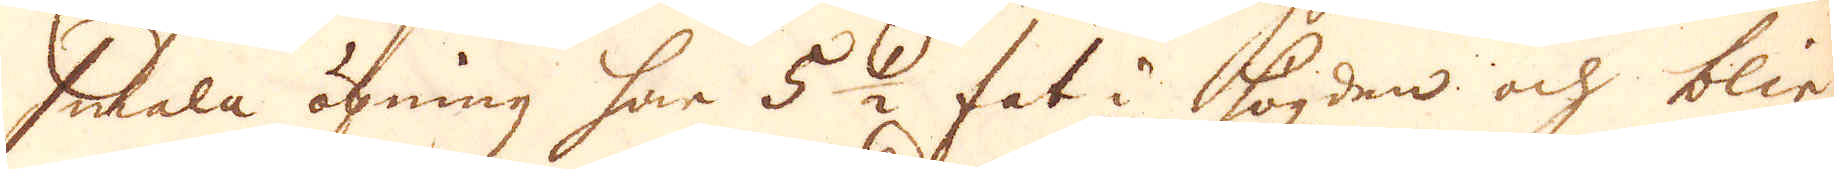smala öpning har 5 1/2 fot i högden och blir
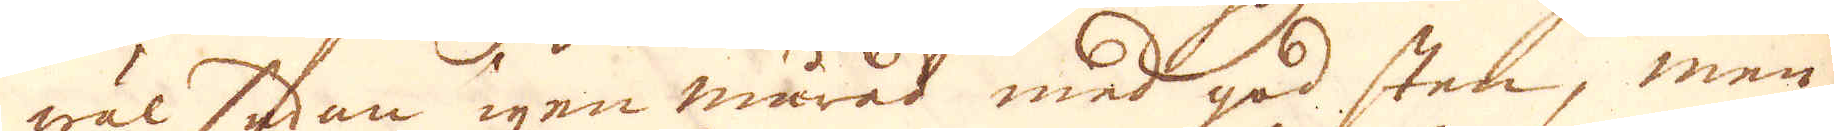wäl sidan igen murad med god sten, men
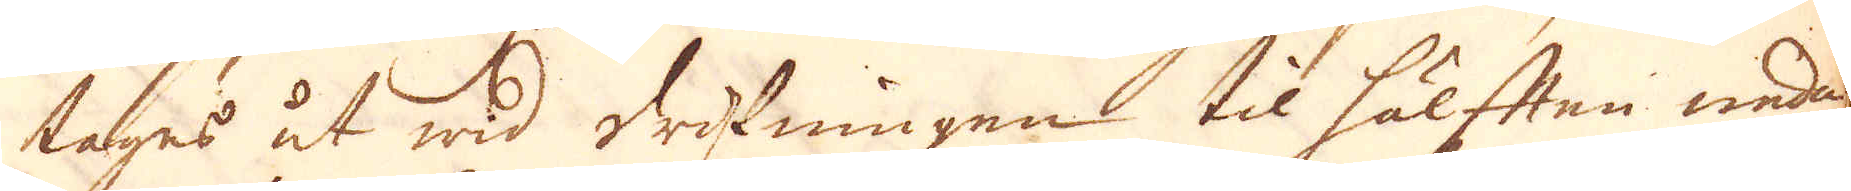tages ut wid drifningen til hälften nedan
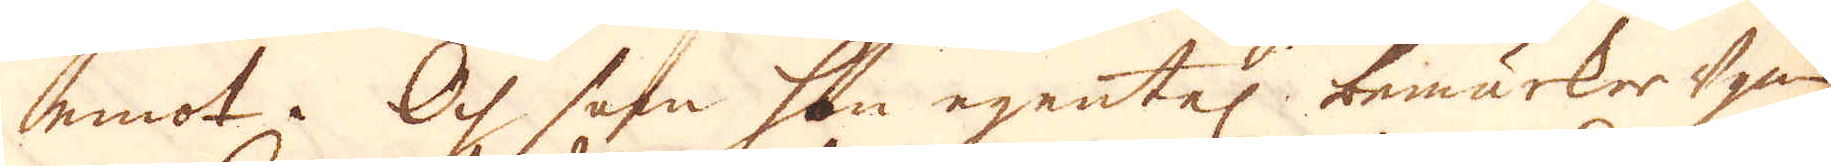emot. Och som han egentel: bemärker ugnen
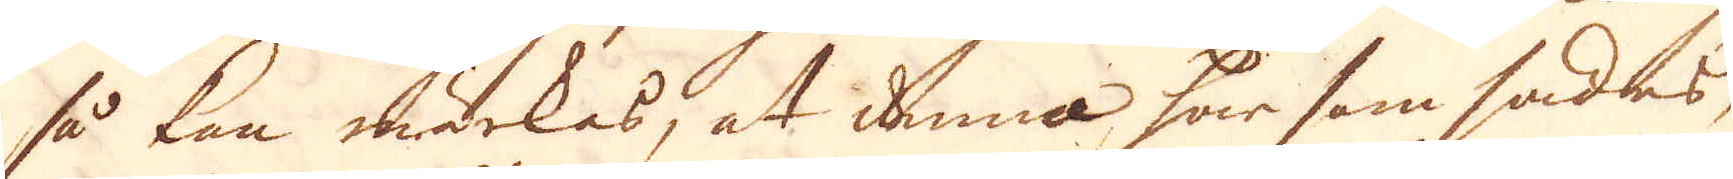så kan märkas, at denna har som sades
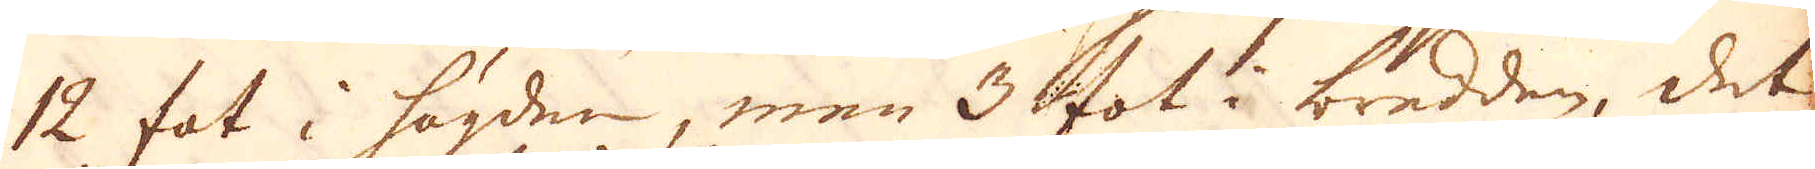12 fot i högden, men 3 fot i bredden, det
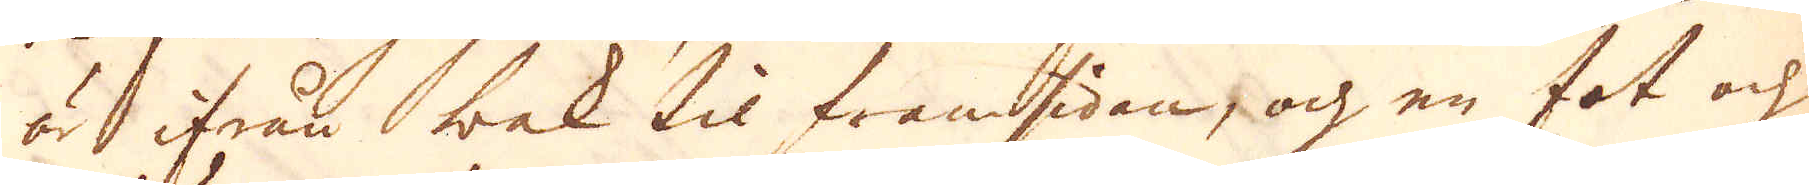är ifrån bak til framsidan, och en fot och
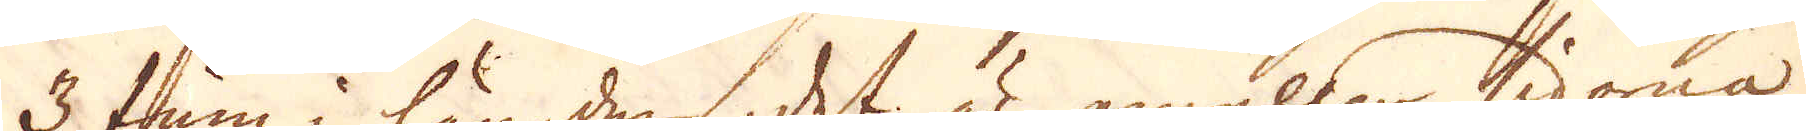3 tum i längden, det är emellan sidorna
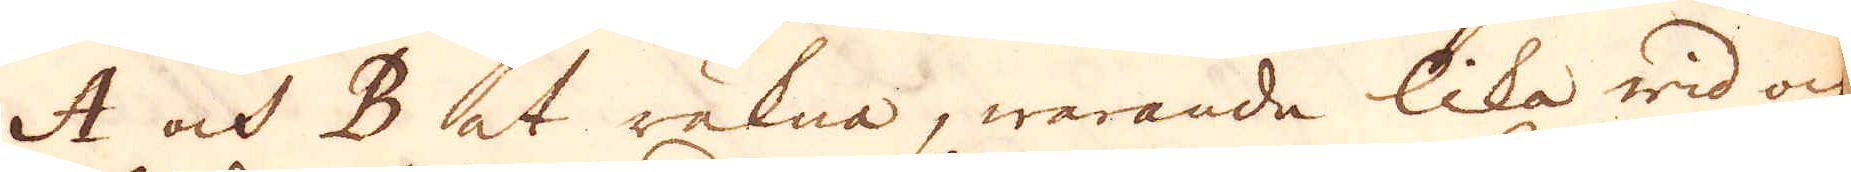A och B at räkna, warande lika wid och
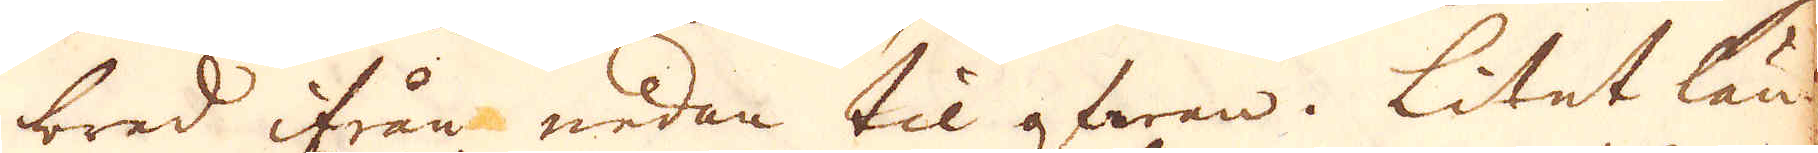bred ifrån nedan til ofwan. Litet län-
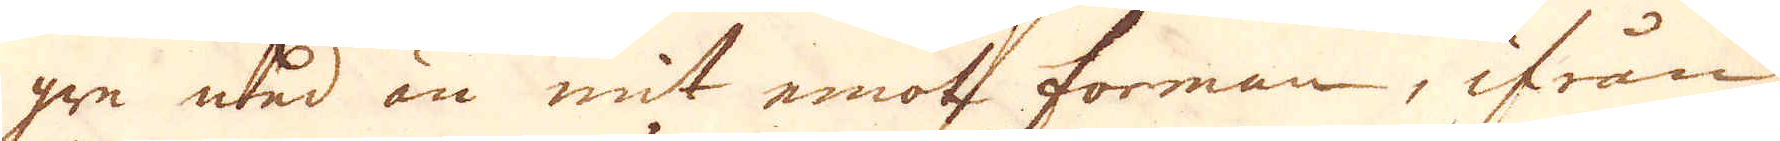gre ned än mit emot forman, ifrån
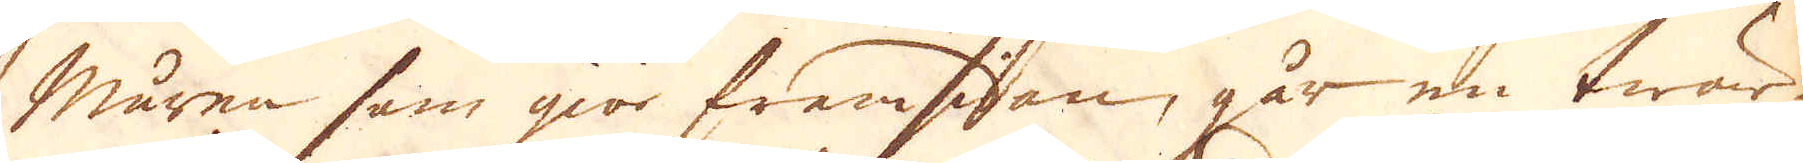muren som giör fremsigan, går en twär
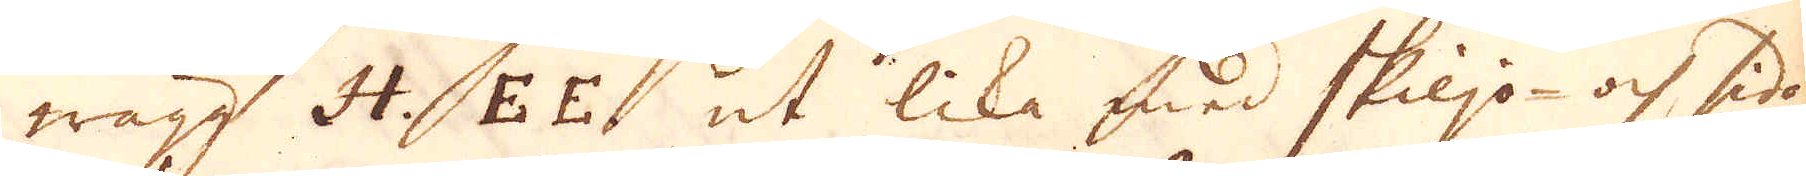wägg H. E E. ut lika med skiljo- och sido-
